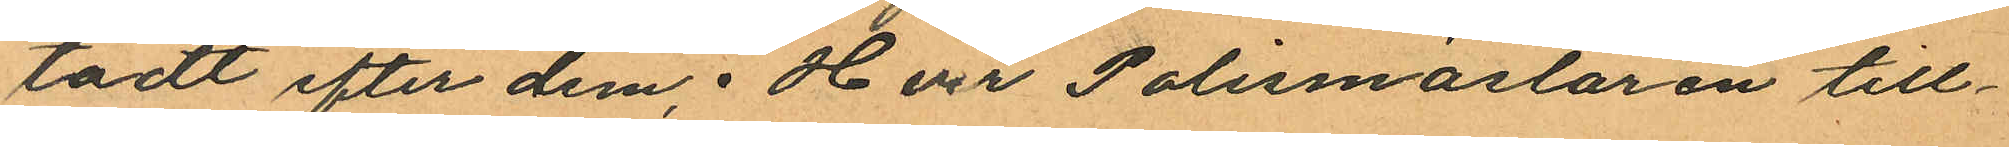tadt efter dem; Herr Polismästaren till¬
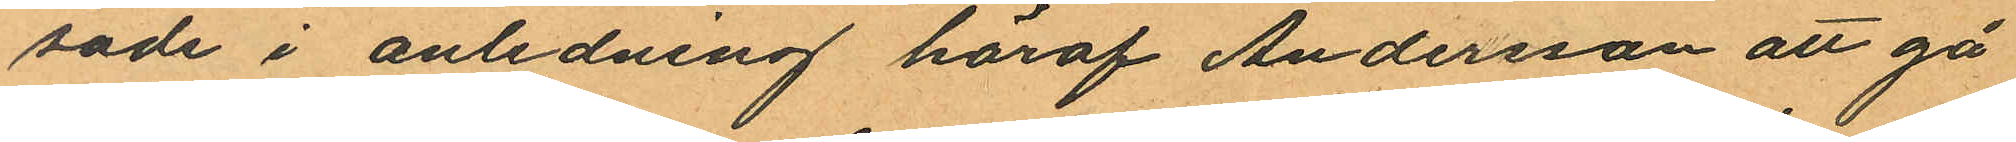sade i anledning häraf Andersson att gå
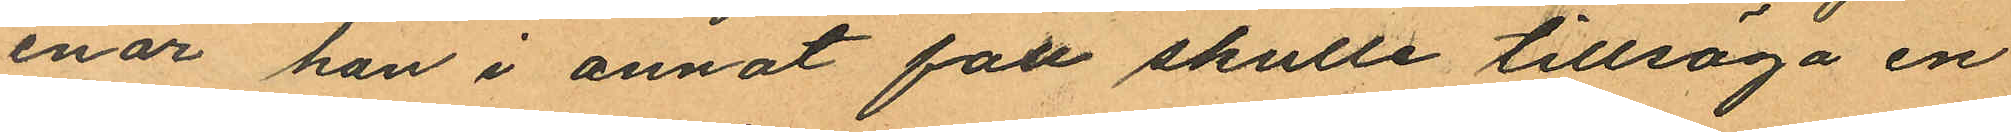enär han i annat fått skulle tillsäga en
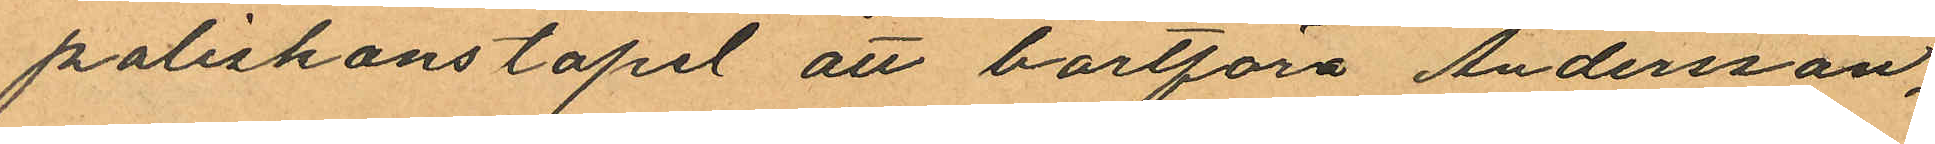poliskonstapel att bortföra Andersson,
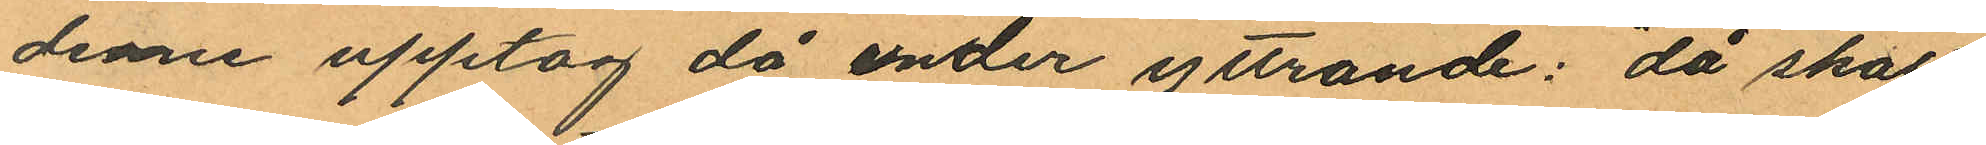denne upptog då under yttrande: "då skall
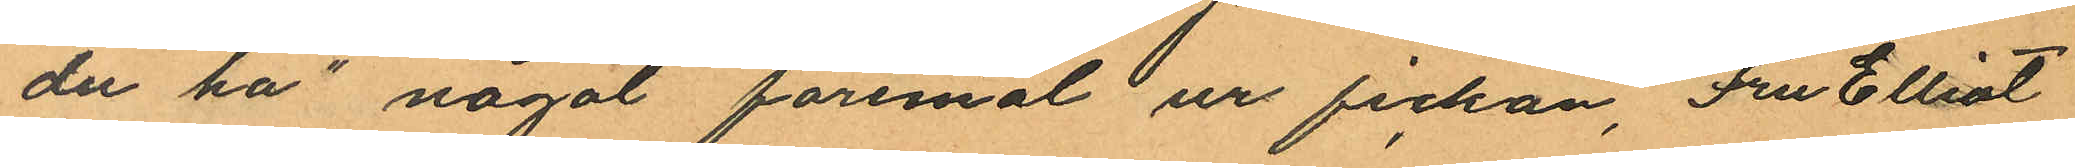du ha" något föremål ur fickan, Fru Elliot
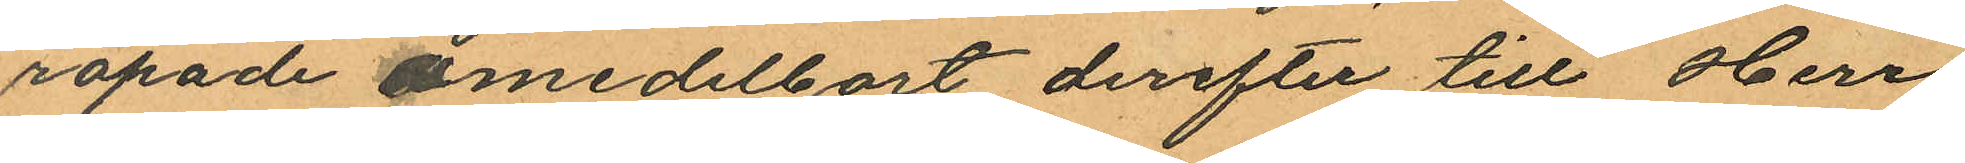ropade omedelbart derefter till Herr
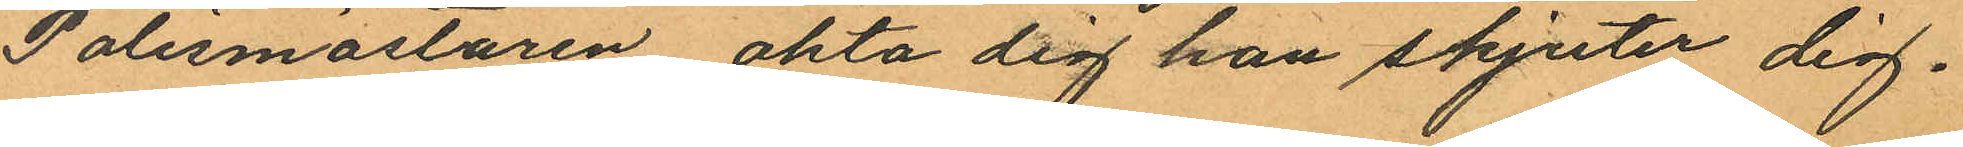Polismästaren akta dig han skjuter dig.
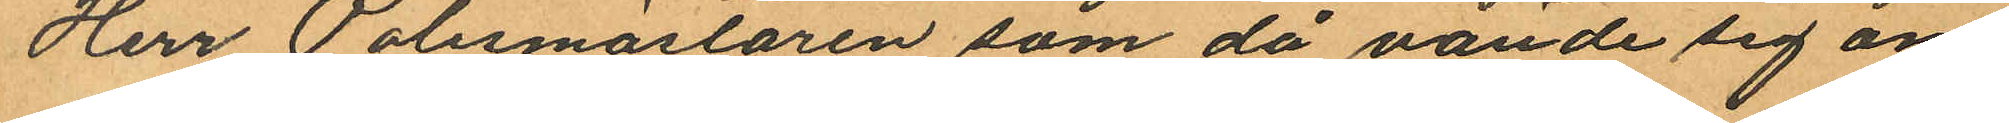Herr Polismästaren som då vände sig om
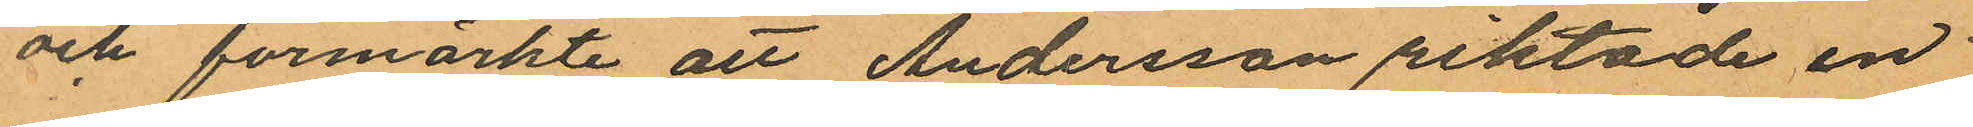och förmärkte att Andersson riktade en
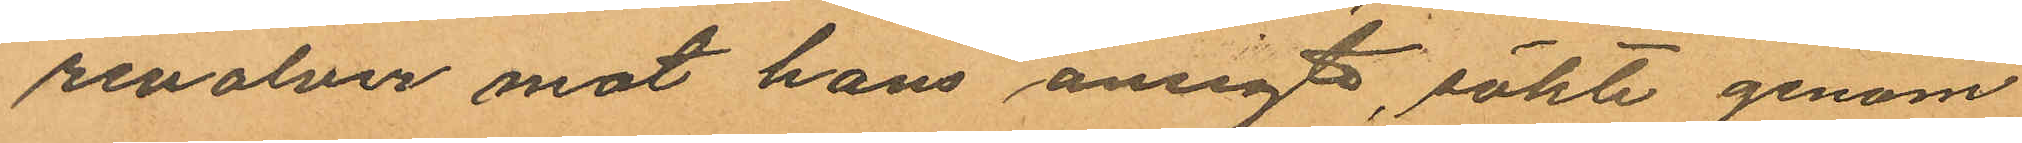revolver mot hans ansigte, sökte genom
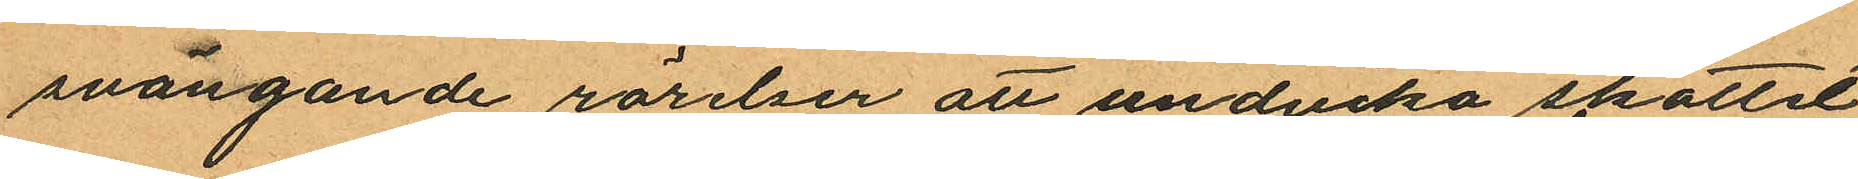svängande rörelser att undvika skottet
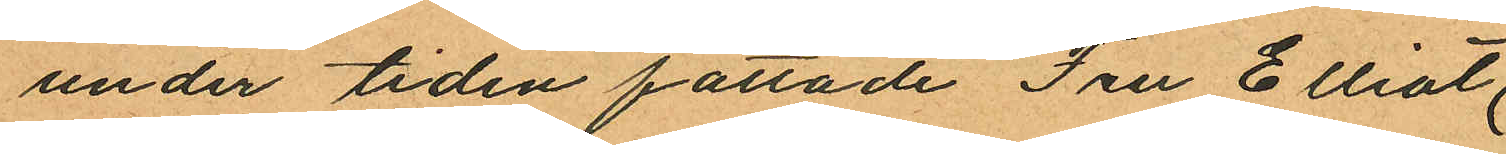under tiden fattade Fru Elliot,
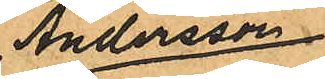Andersson
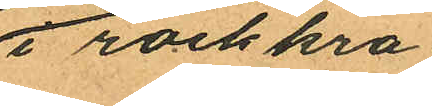i rockkra¬
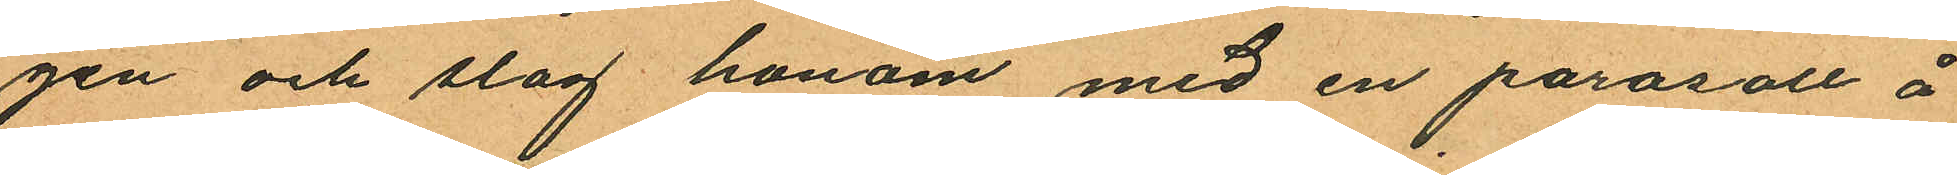gen och slog honom med en parasoll å
